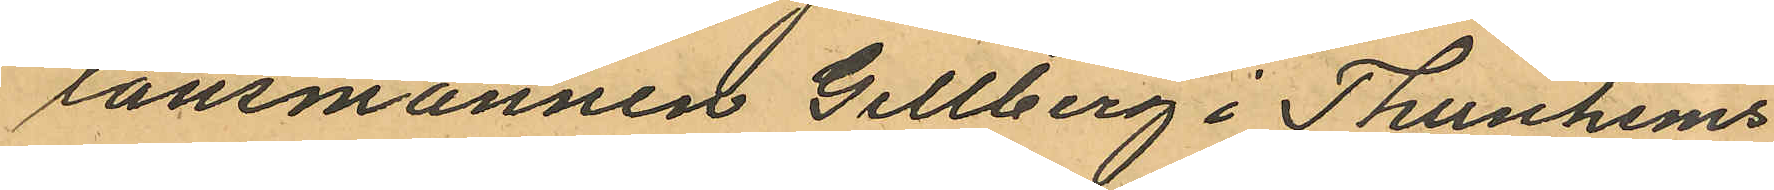länsmannen Gellberg i Thunhems
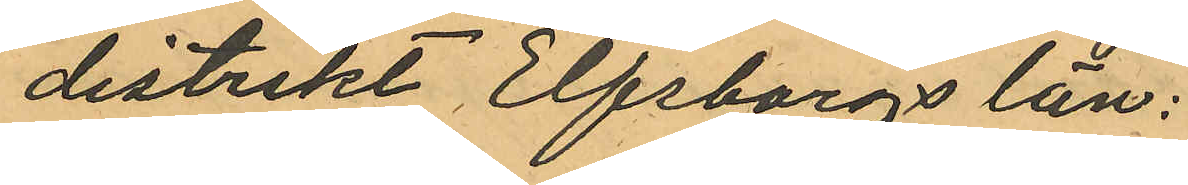distrikt Elfsborgs län:
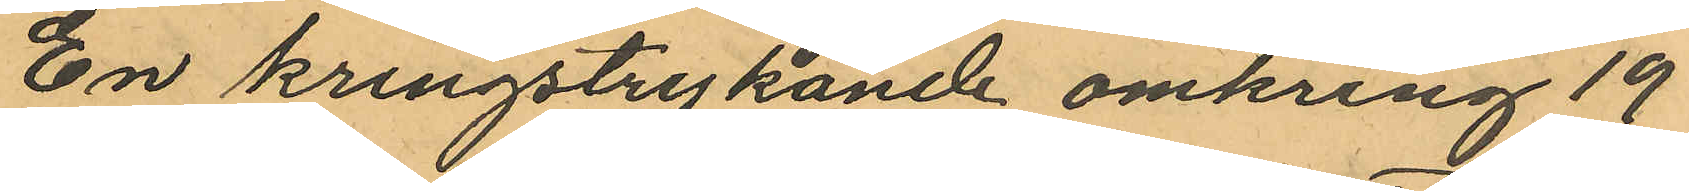En kringstrykande omkring 19
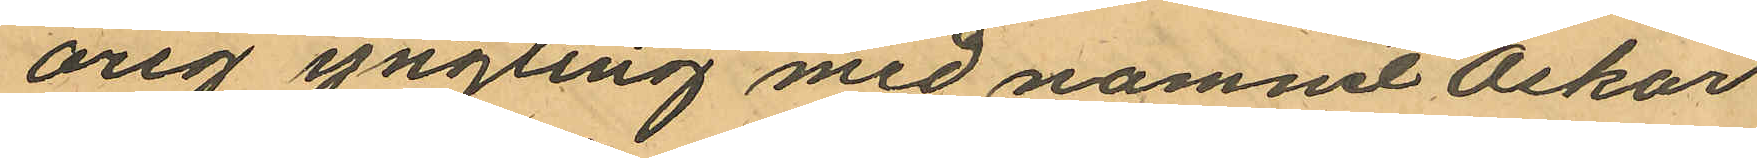årig yngling med namnet Oskar
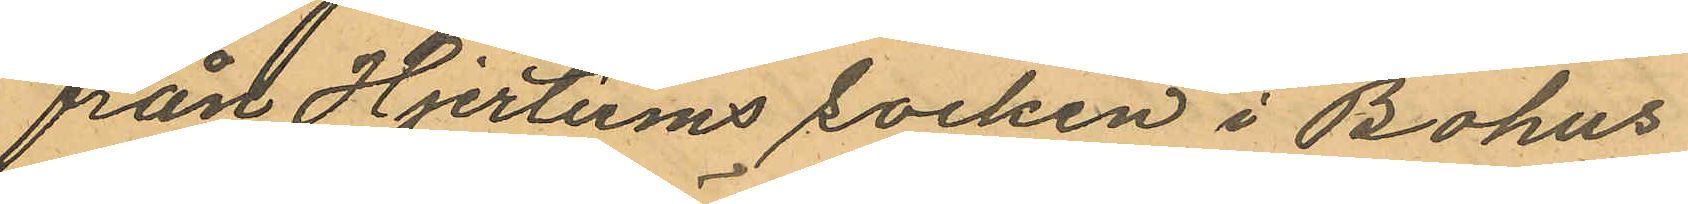från Hjertums socken i Bohus
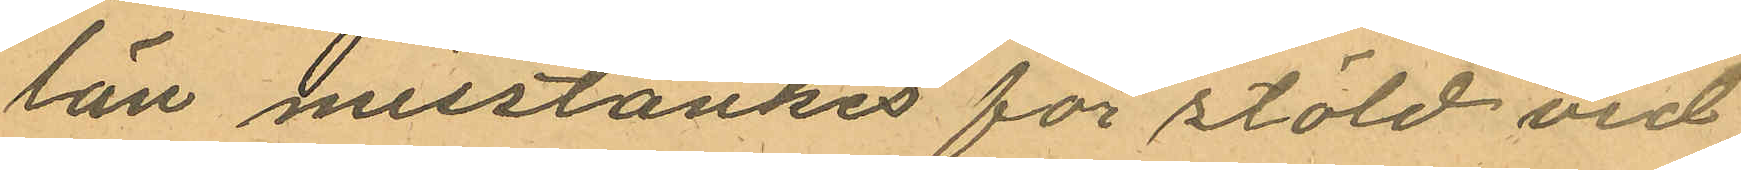län misstänkes för stöld vid
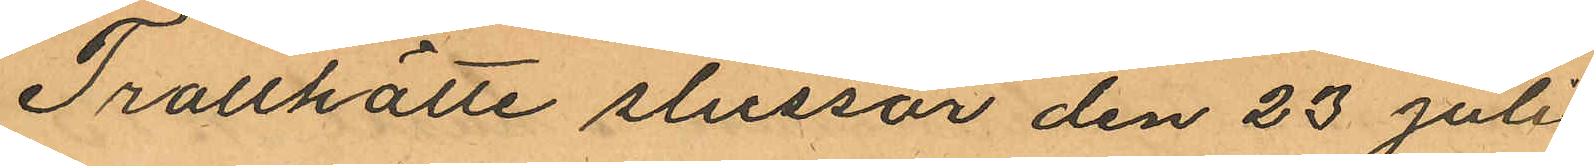Trollhätte slussar den 23 juli
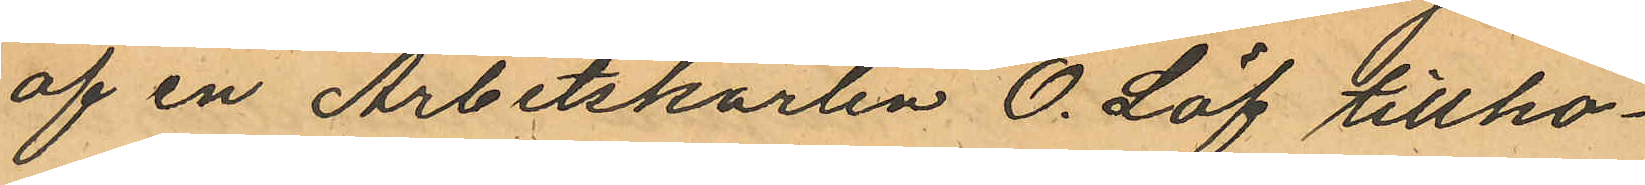af en Arbetskarlen O. Löf tillhö¬
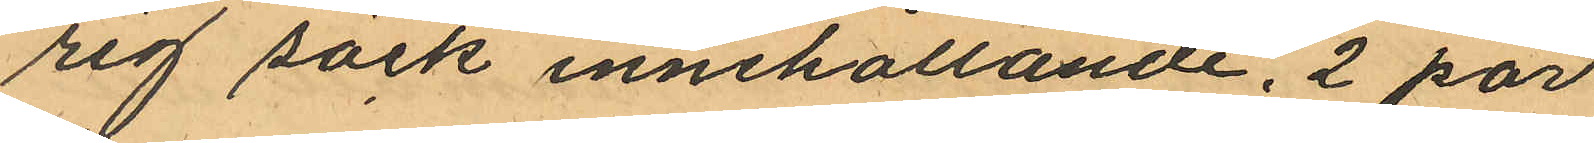rig säck innehållande. 2 par
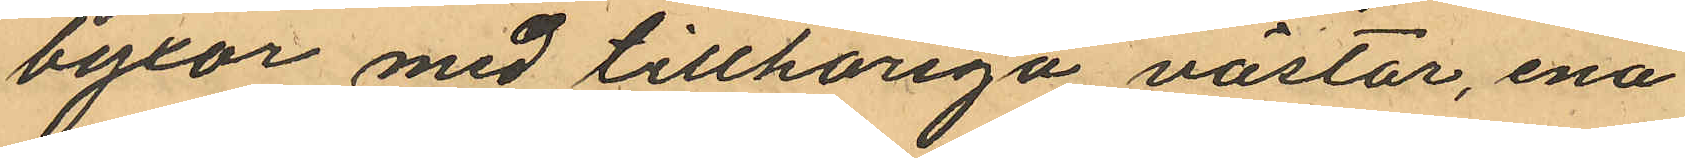byxor med tillhöriga västar, ena
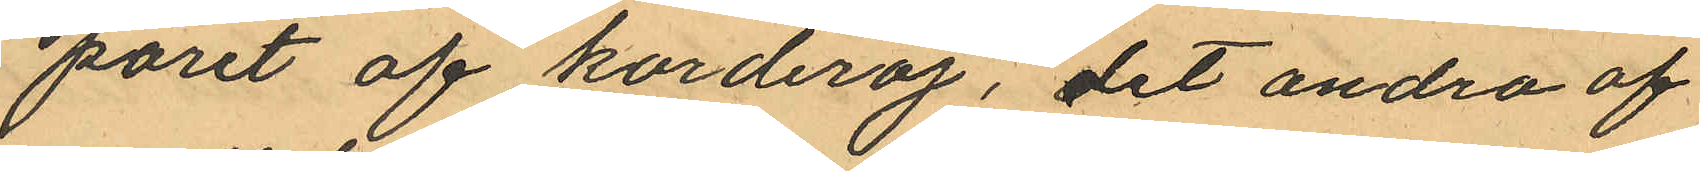paret af korderoj, det andra af
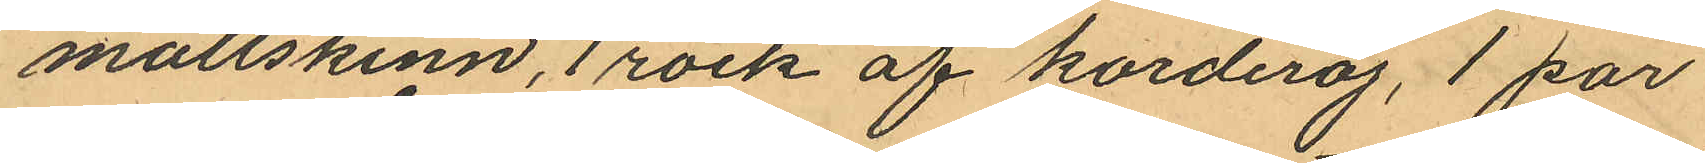mollskinn, 1 rock af korderoj, 1 par
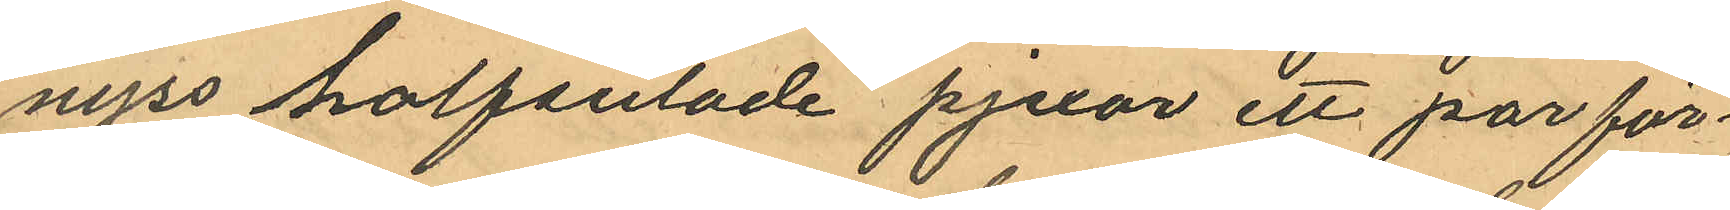nyss halfsulade pjexor ett par för¬
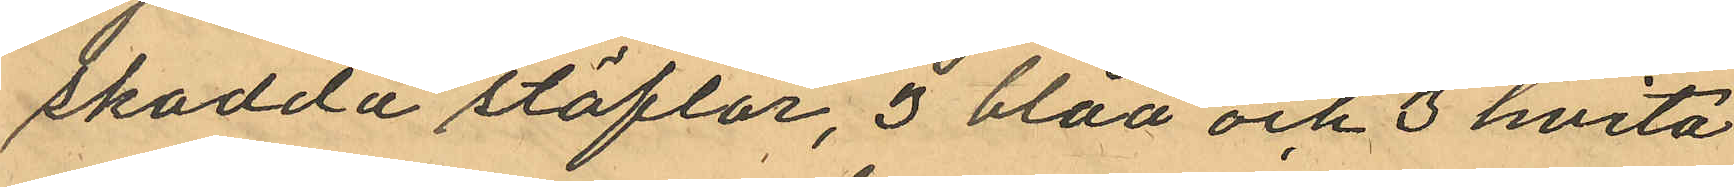skodda stöflar, 3 blåa och 3 hvita
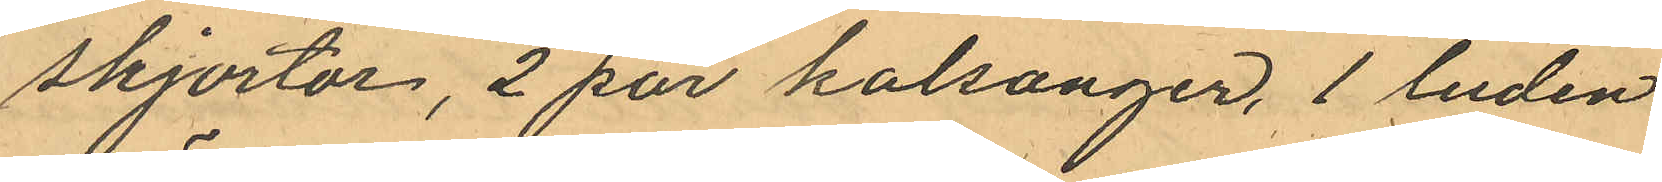skjortor, 2 par kalsonger, 1 luden
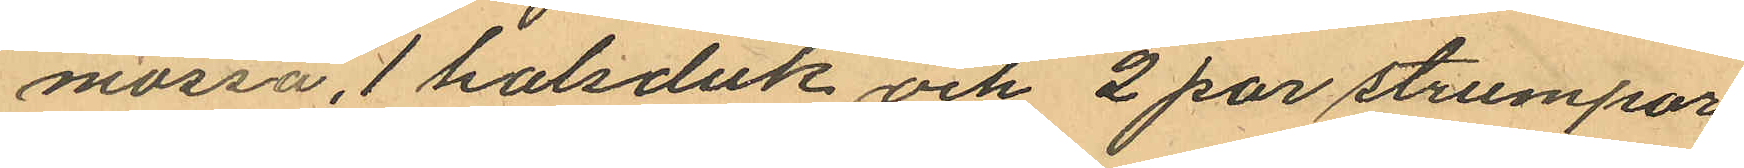mössa, 1 halsduk och 2 par strumpor
